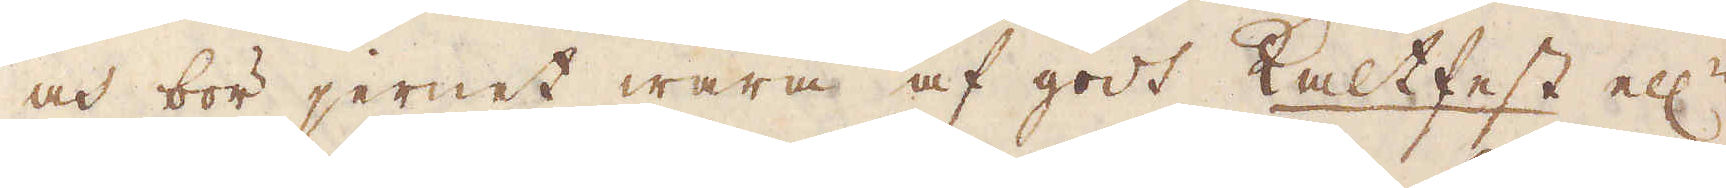och bör jernet wara af godt Kaltfest ell:r
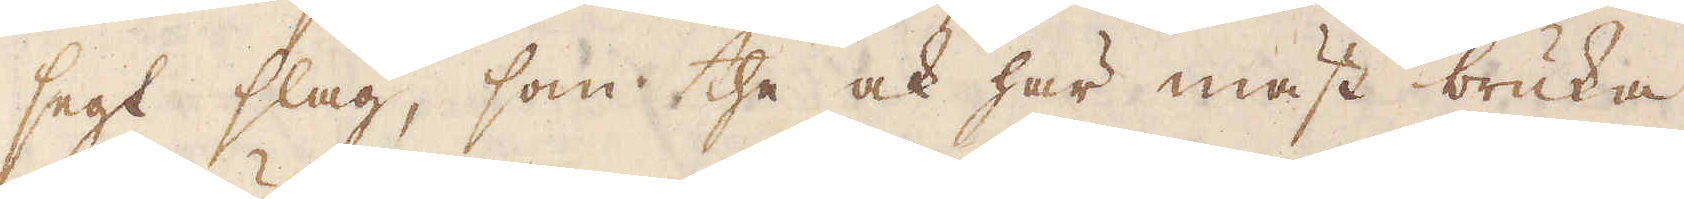segt slag, som the ock här mäst bruka
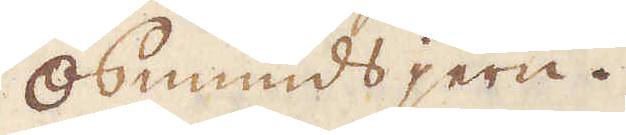osmunds jern.
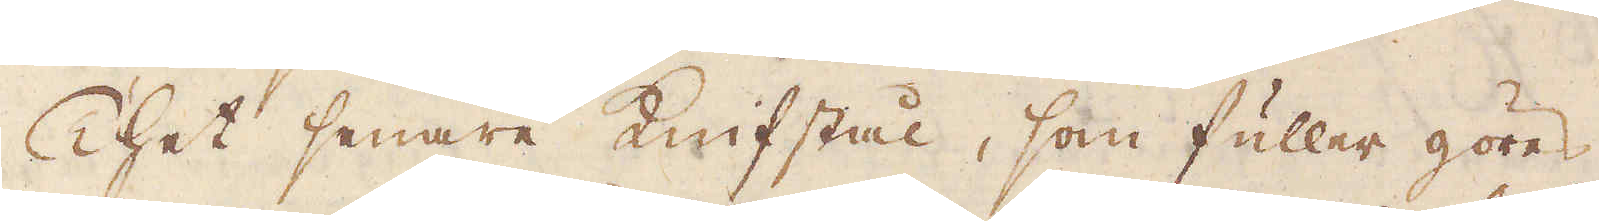Thet senare Knifstål, som fuller göres
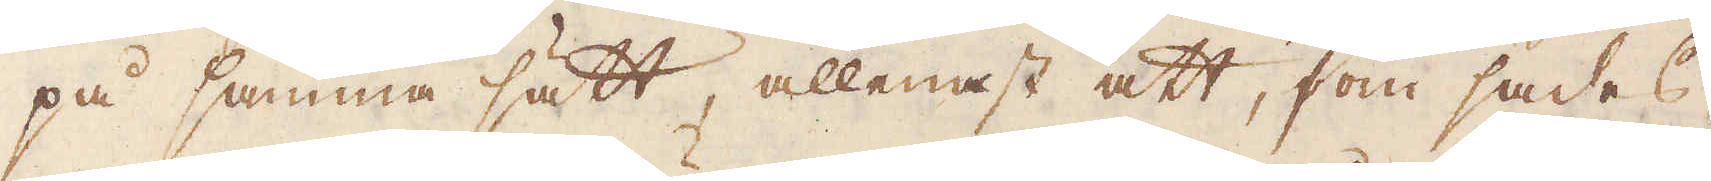på samma sätt, allenast att, som sades,
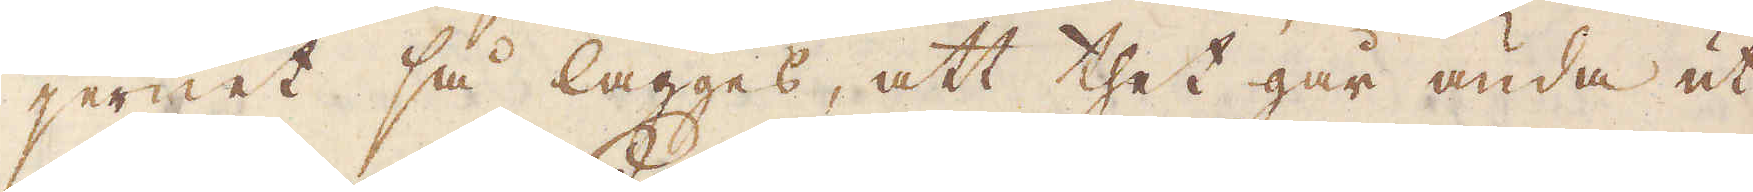jernet så lägges, att thet går ända ut
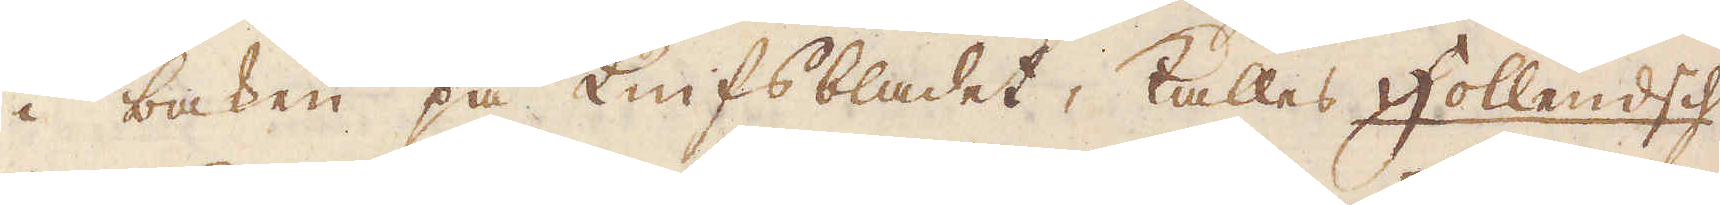i baken på Knifsbladet, kallas Hollendsch
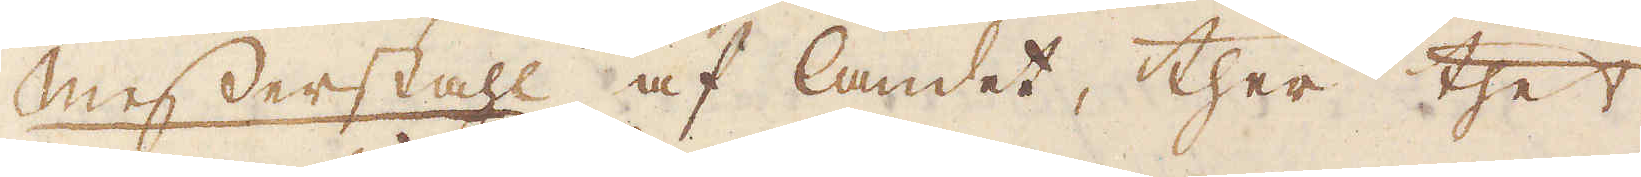Messerstahl af landet, ther thet
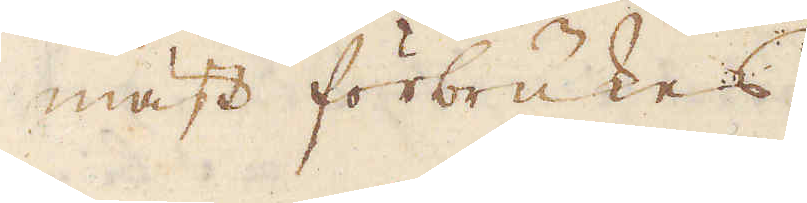mäst förbrukes.
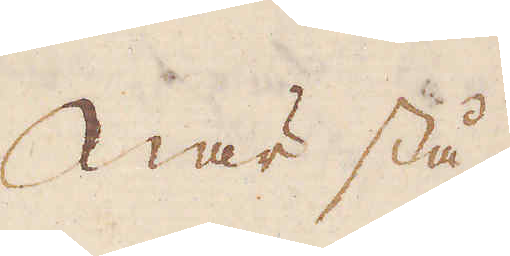När stå-
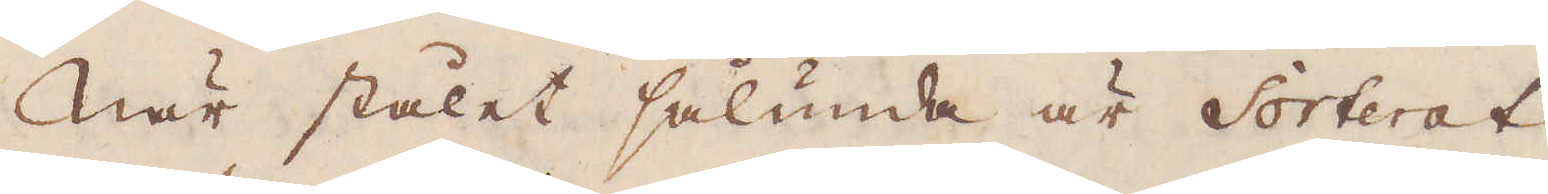När stålet sålunda är Sorterat
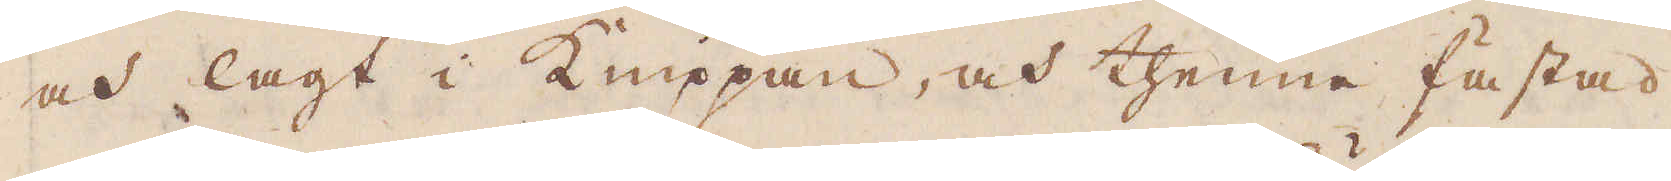och lagt i Knippan, och thenne fästad
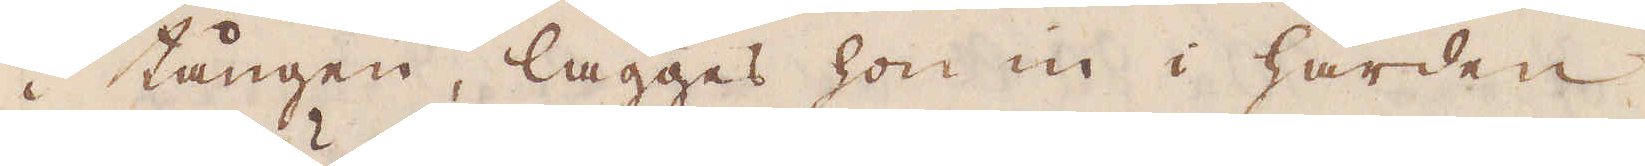i tången, lägges hon in i härden
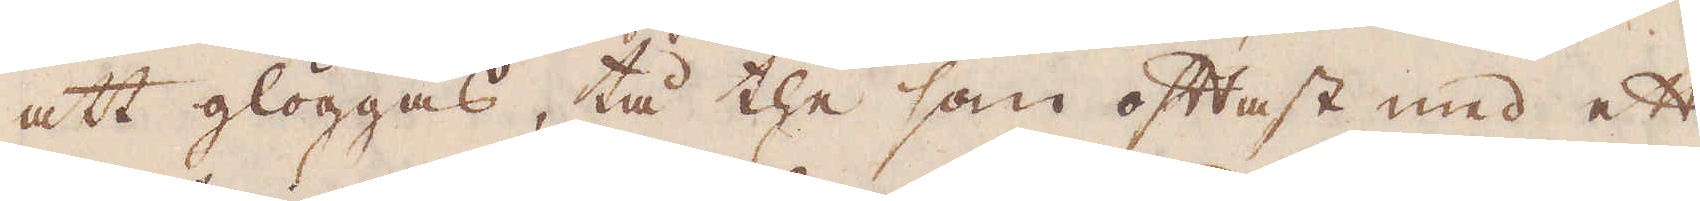att glöggas, tå the som oftast med ett
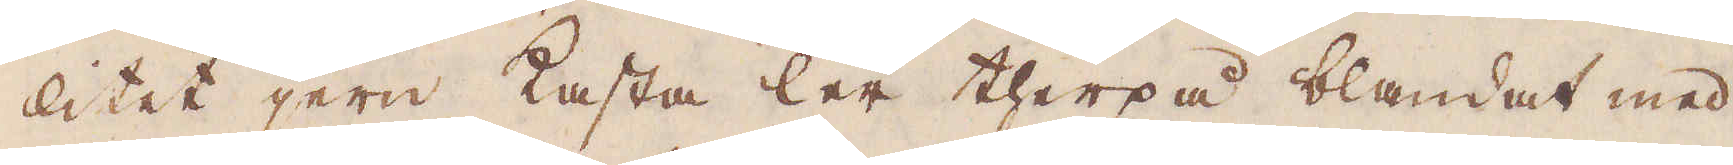litet jern kasta ler therpå blandat med
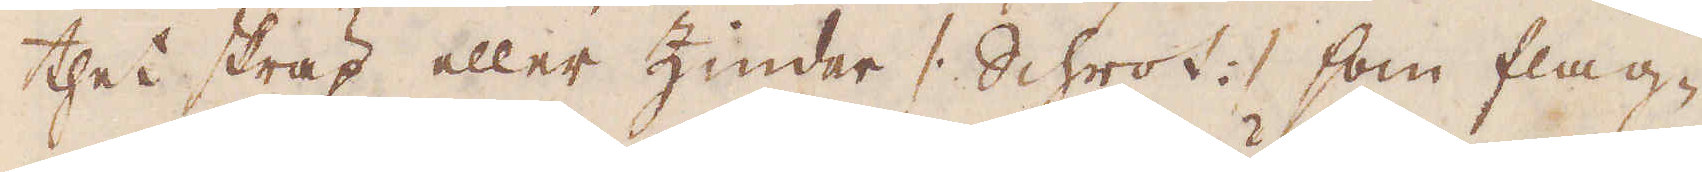thet skräp eller Zinder /: Schrot :/ som flag-
